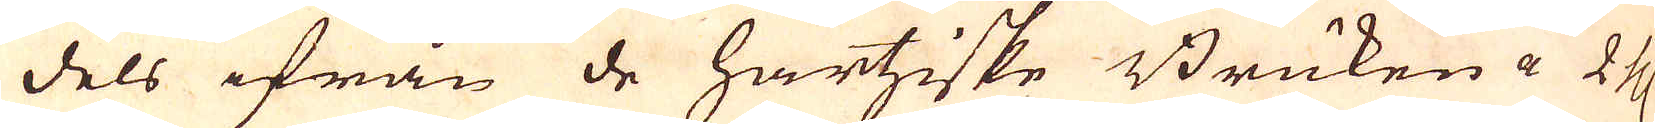dels ifrån de Hartziske Bruken a 2 th:r
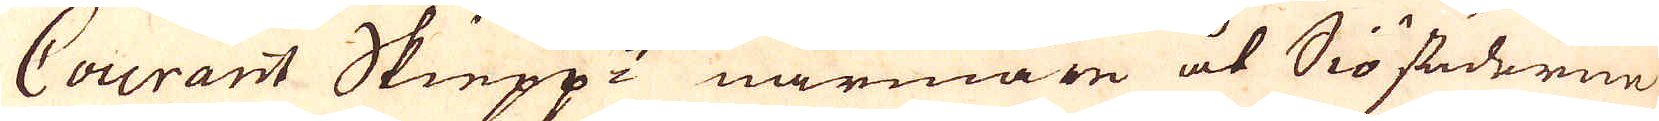Courant Skiepp:t närmare åt Siöstäderne
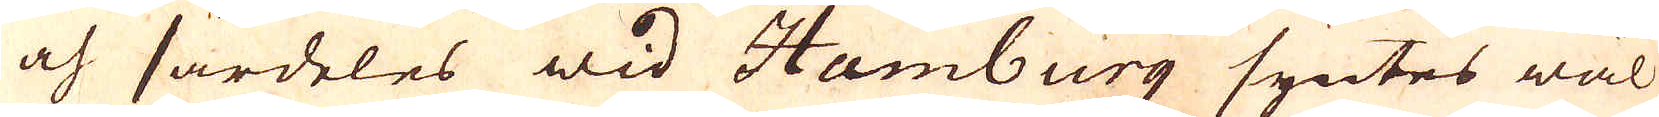och särdeles wid Hamburg syntes wäl
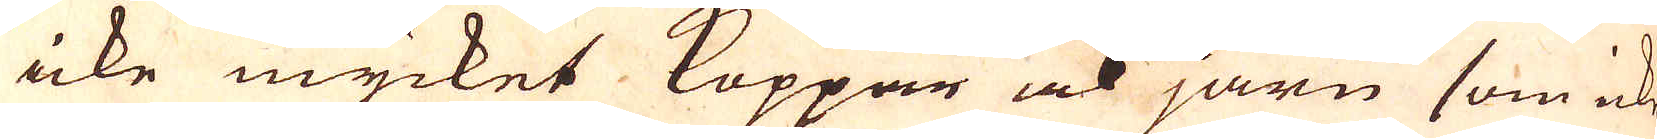icke mycket Koppar ock järn som icke
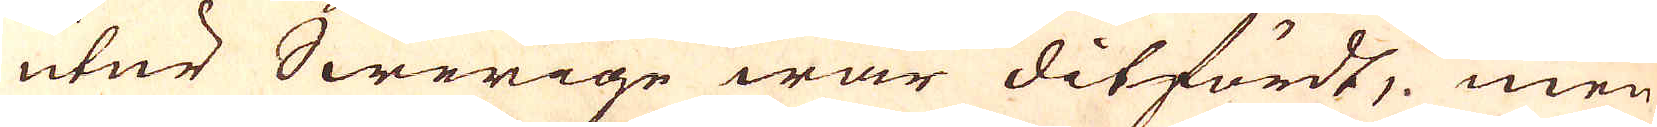utur Swerige war ditfördt, men
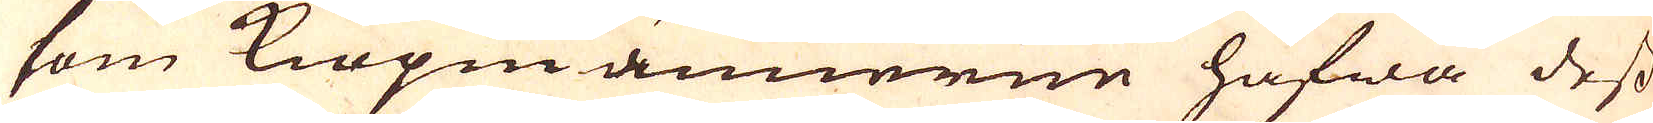som Kiöpmännerne hafwa dess
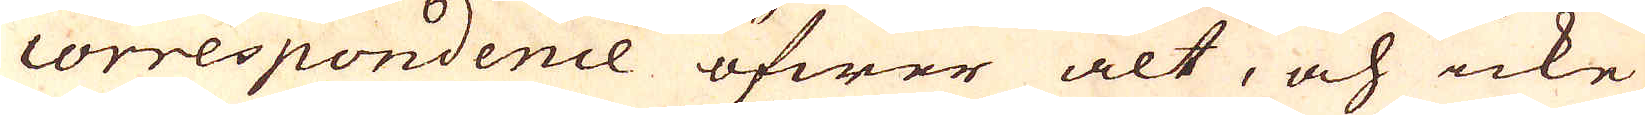correspondence öfwer alt, och icke
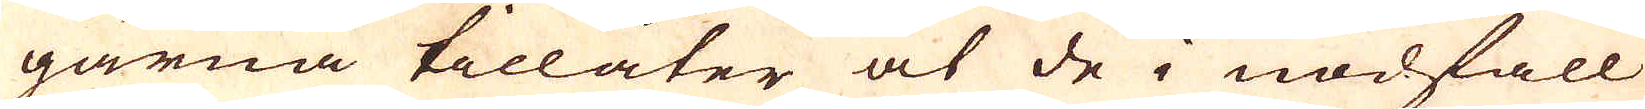gärna tillåter at de i nödfall
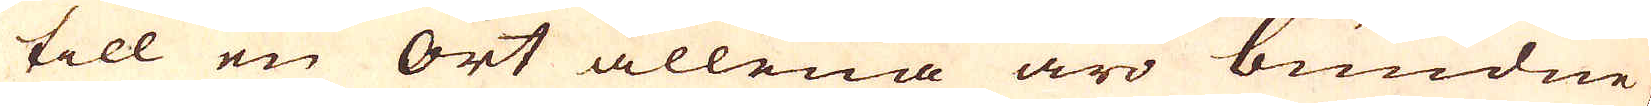till en ort allena äro bundne,
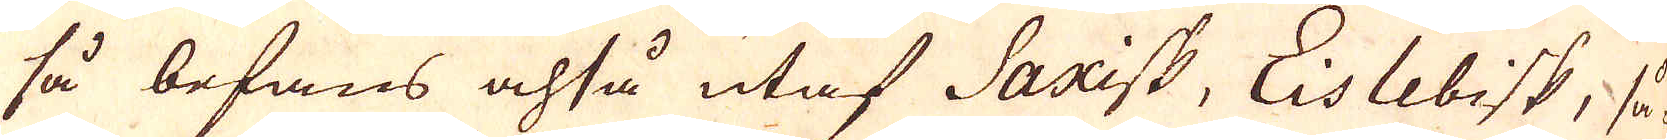så befans ochså utaf Saxisk, Eislebisk, så-
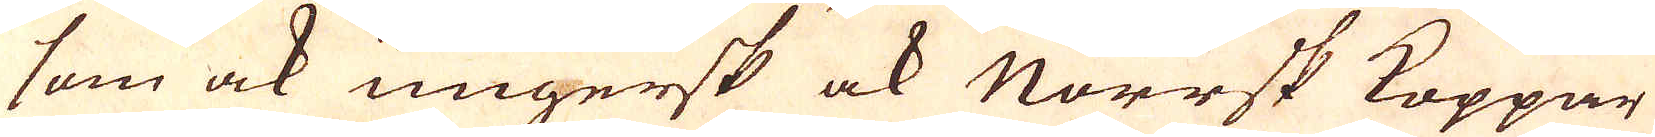som ock ungersk ock Norrsk Koppar
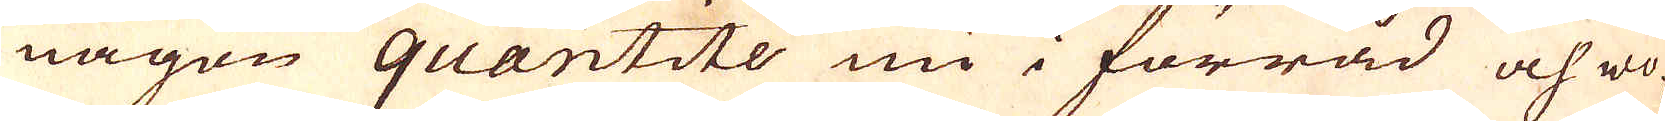någon quantité nu i förråd och wo-
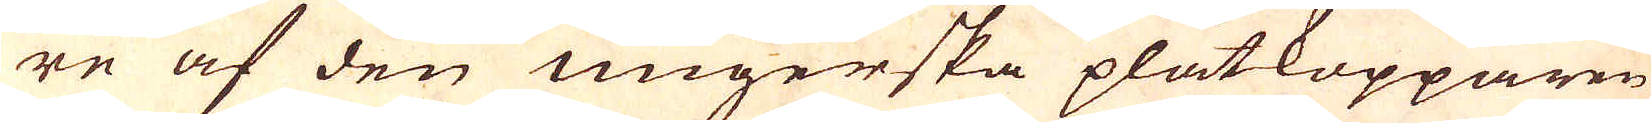re af den ungerska plåtkopparen
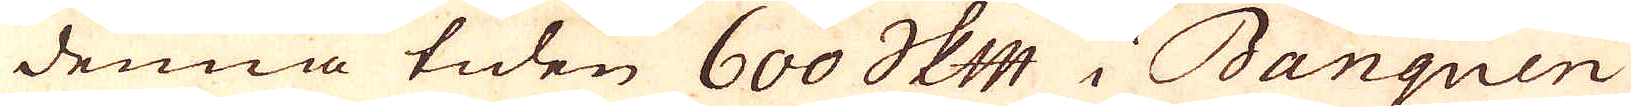denna tiden 600 skeppund i Banquen
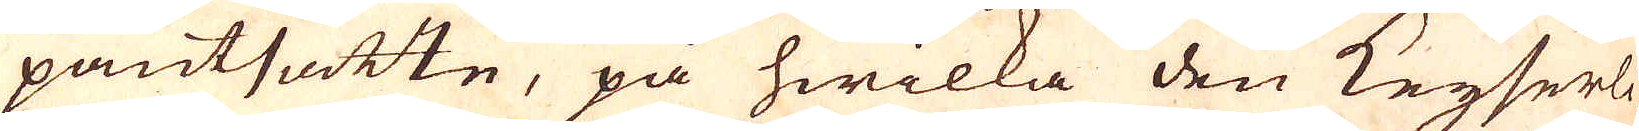pantsatte, på hwilka den Keijserli-
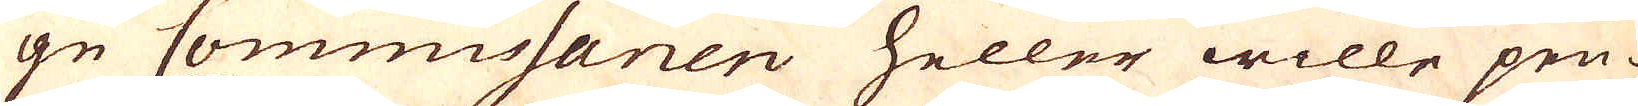ge Commissarien heller wille pen-
